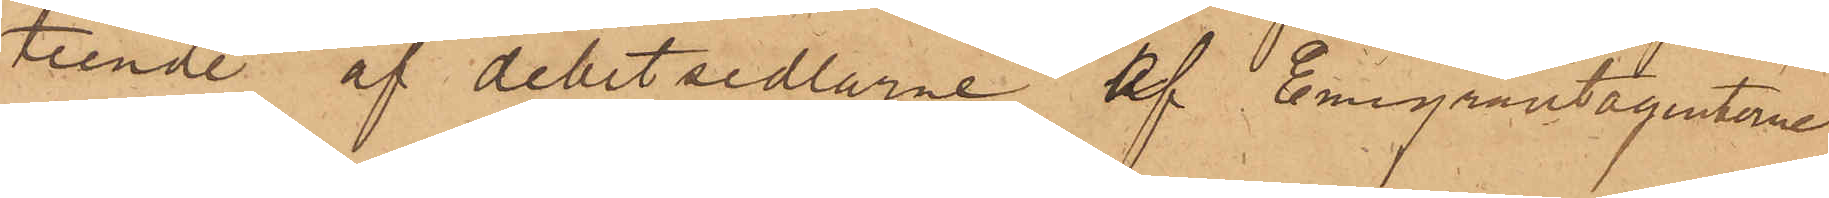teende af debetsedlarne af Emigrantagenterne
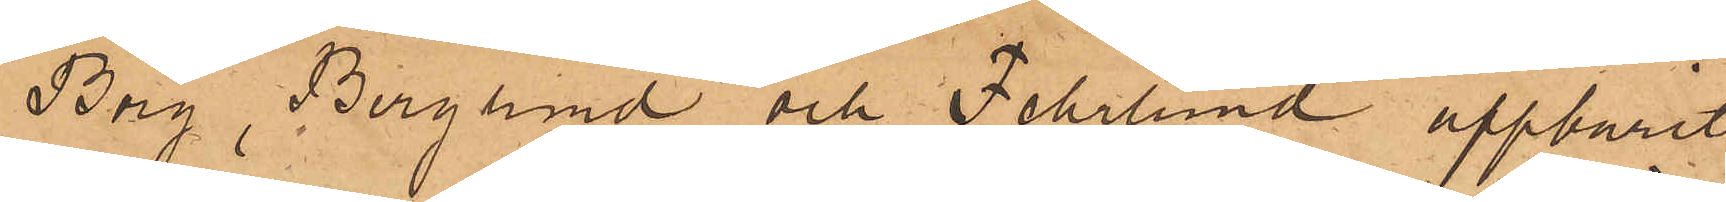Borg, Berglund och Fehrlund uppburit
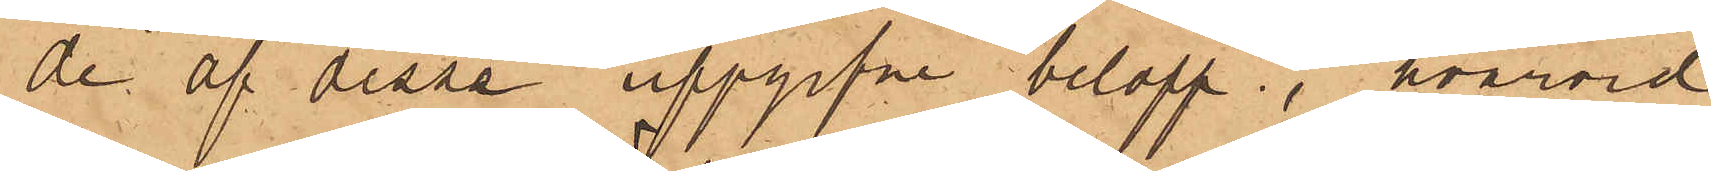de af dessa uppgifne belopp, hvarvid
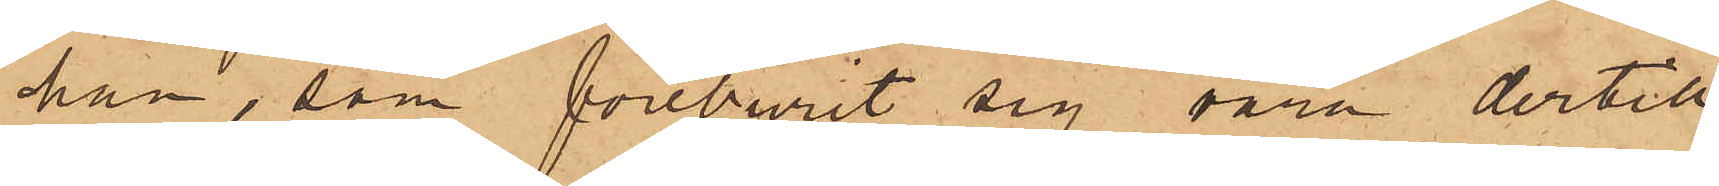han, som föreburit sig vara dertill
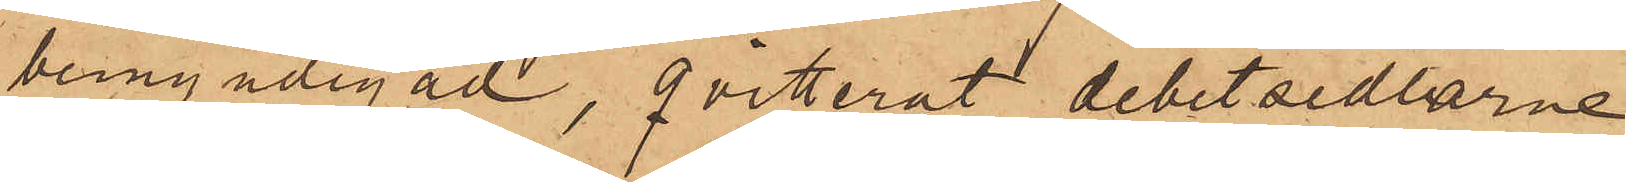bemyndigad, qvitterat debetsedlarne
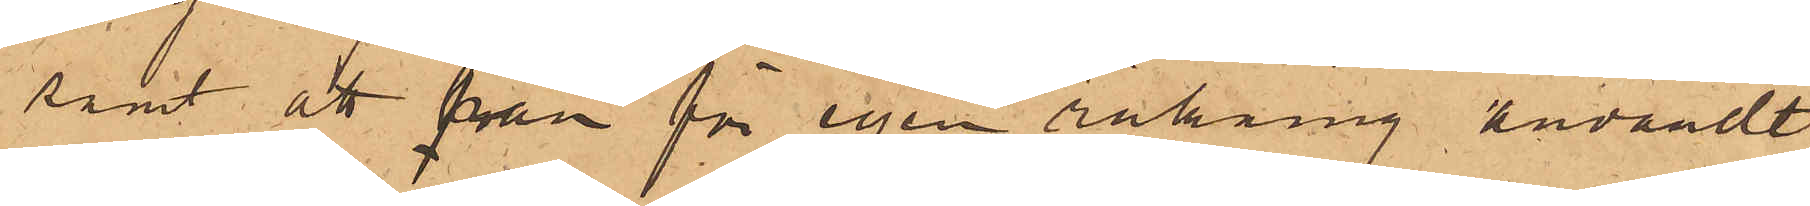samt att från för egen räkning användt
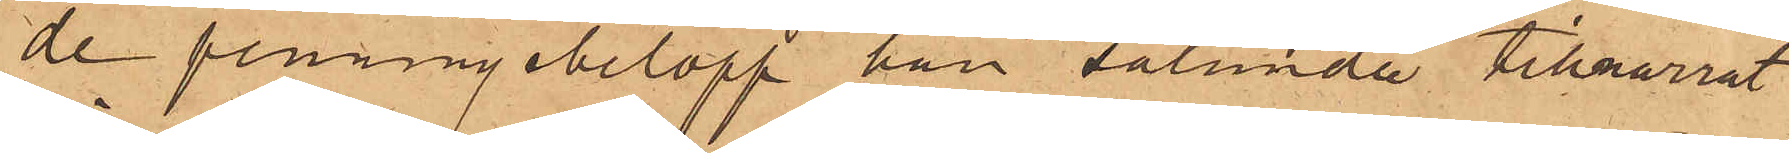de penningebelopp han sålunda tillnarrat
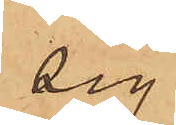sig.
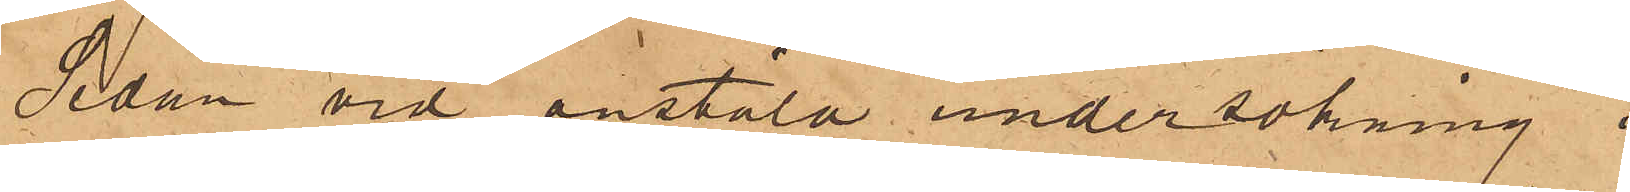Sedan vid anstäld undersökning i
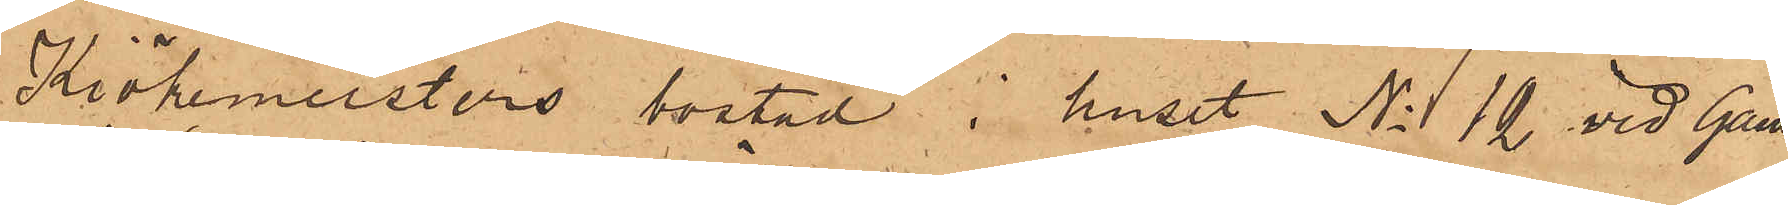Kiökemeisters bostad i huset No 12 vid Gam¬
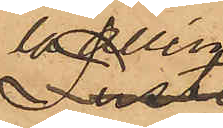la Allén
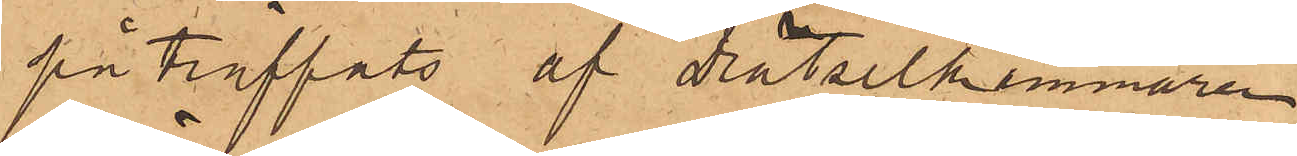på träffats af Drätselkammaren
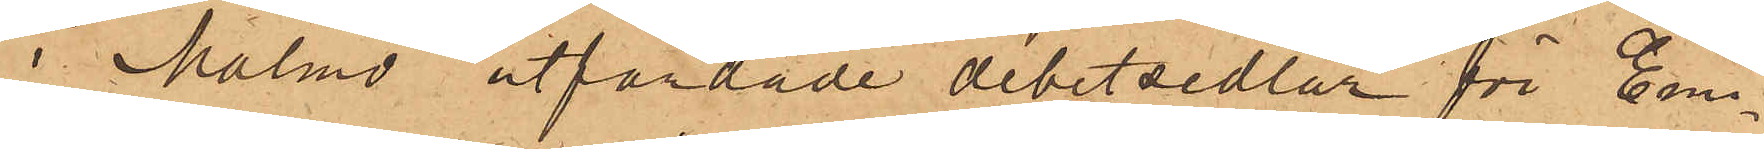i Malmö utfärdade debetsedlar för Emi¬
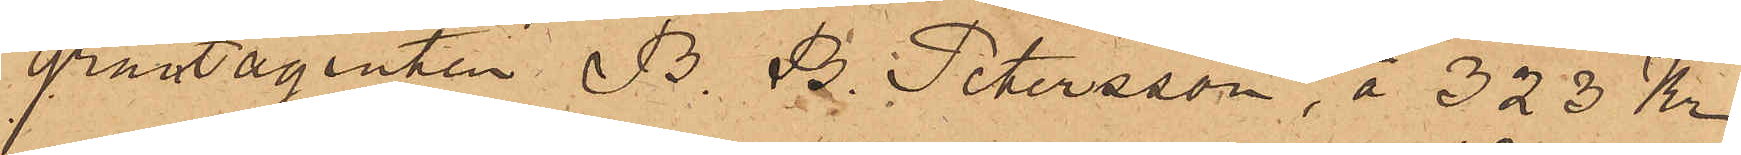grantagenten B. B. Petersson, å 323 Kr
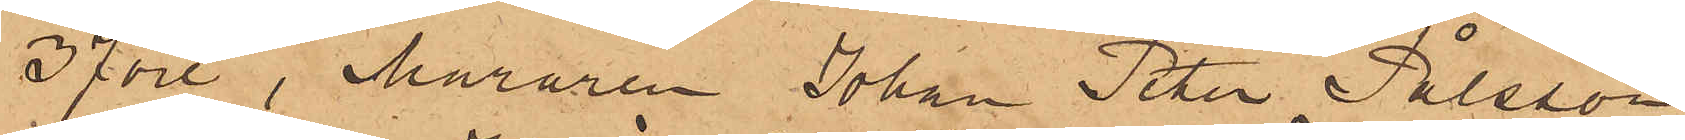37 öre, Muraren Johan Peter Pålsson
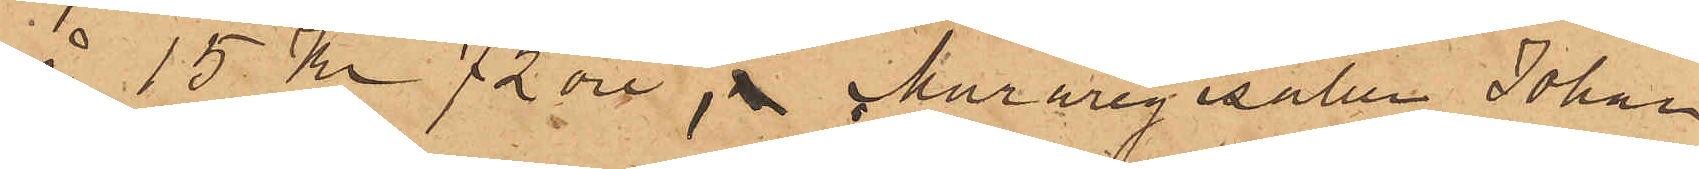å 15 kr 72 öre, Muraregesälen Johan
